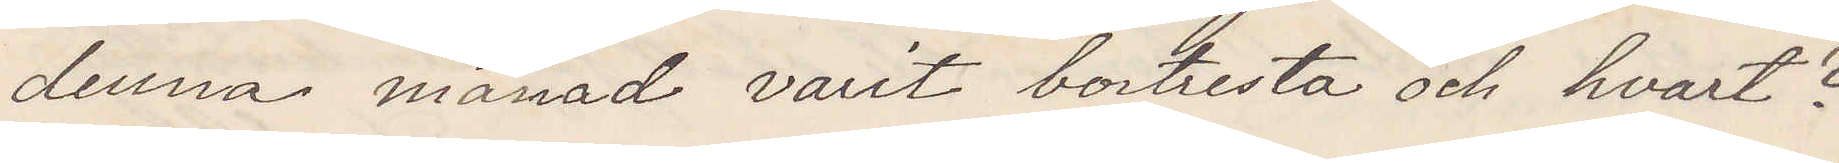denna månad varit bortresta och hvart?
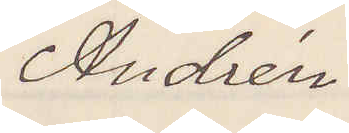Andrén.
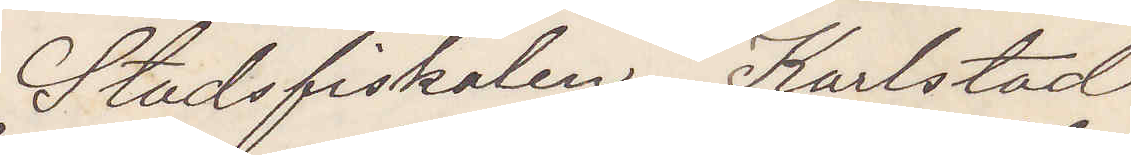Stadsfiskalen Karlstad.
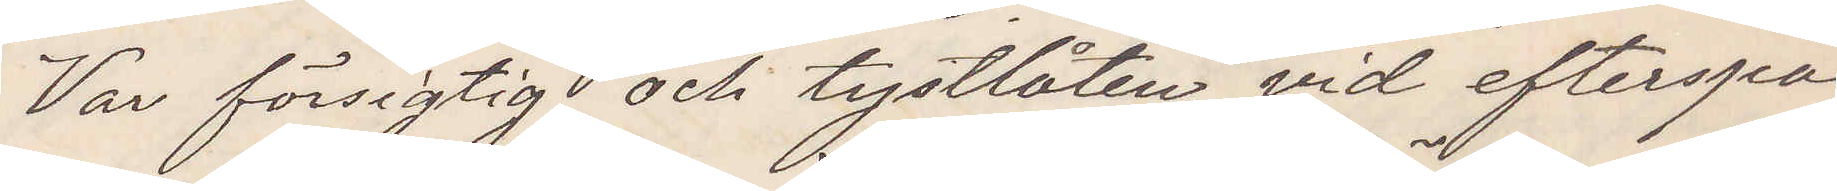Var försigtig och tystlåten vid efterspa¬
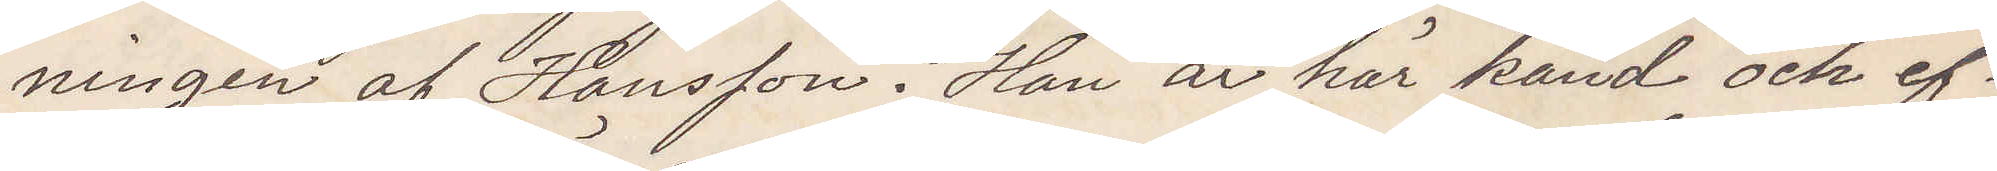ningen af Hansson. Han är här känd och ef¬
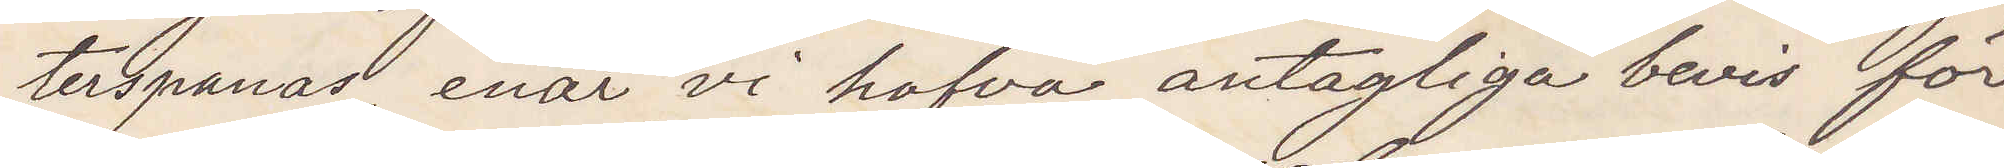terspanad enär vi hafva antagliga bevis för
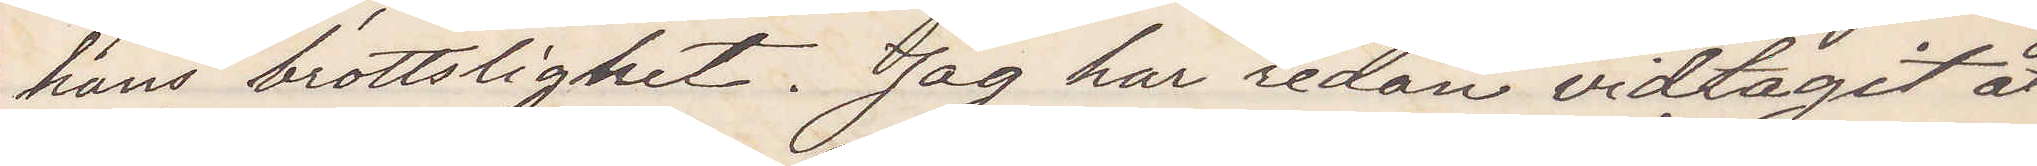hans brottslighet. Jag har redan vidtagit åt¬
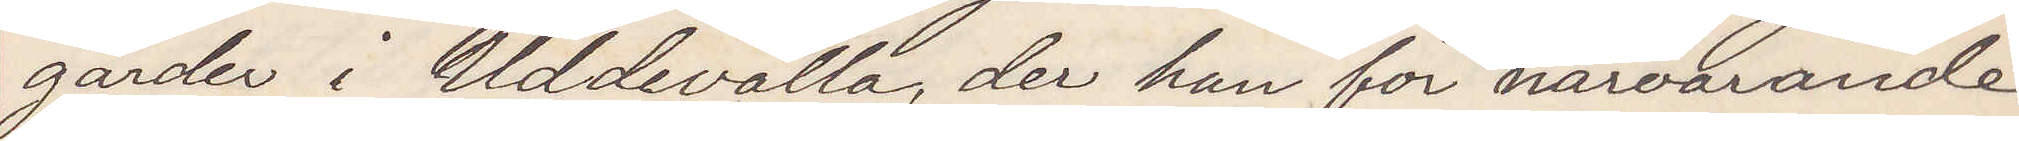gärder i Uddevalla der han för närvarande
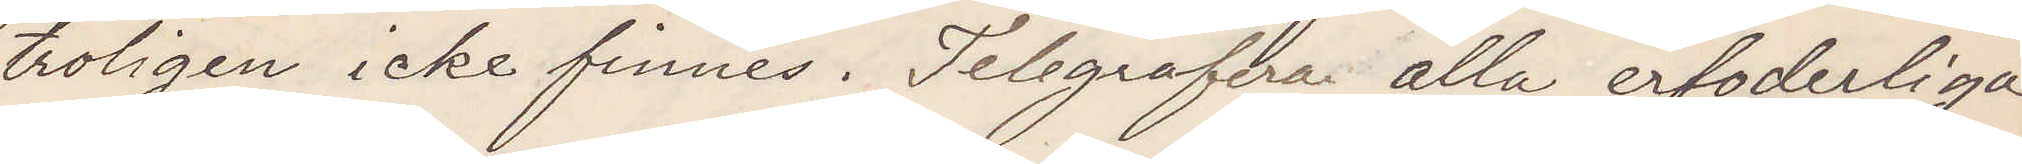troligen icke finnes. Telegrafera alla erfoderliga
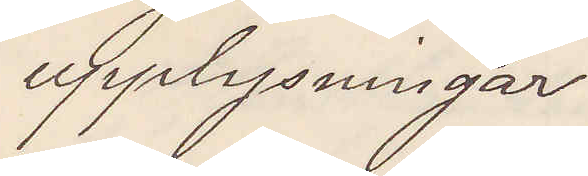upplysningar
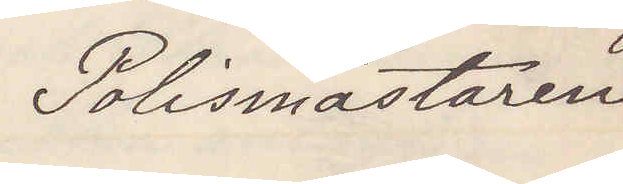Polismästaren
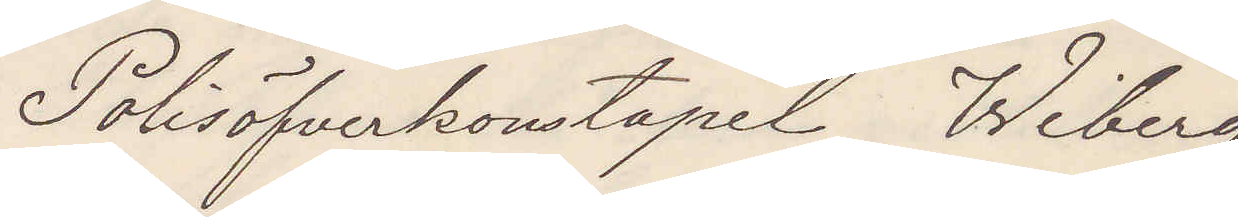Polisöfverkonstapel Wiberg
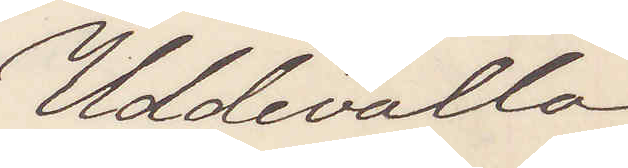Uddevalla
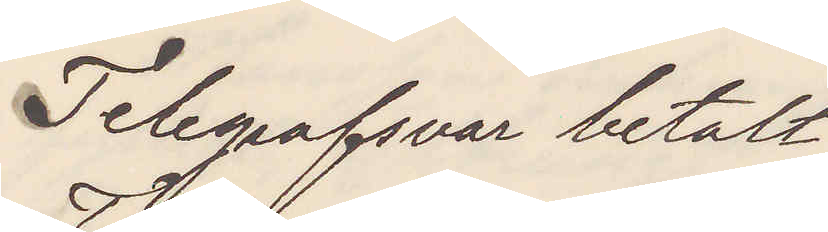Telegrafsvar betalt.
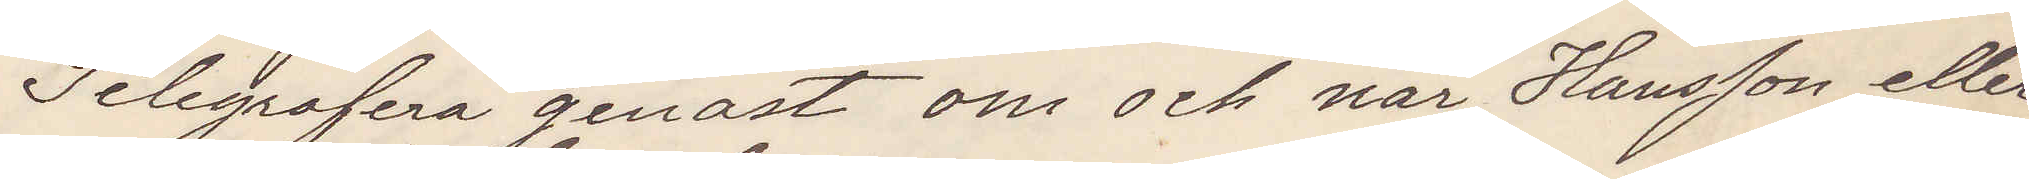Telegrafera genast om och när Hansson eller
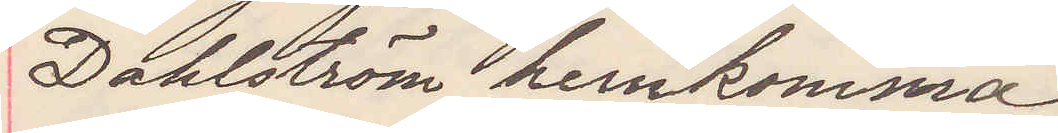Dahlström hemkomma
